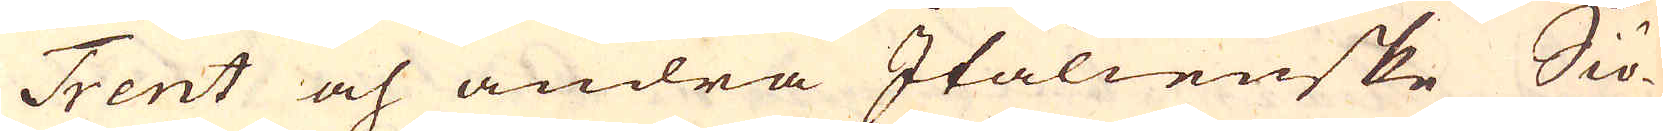Trent och andra Italienske Siö-
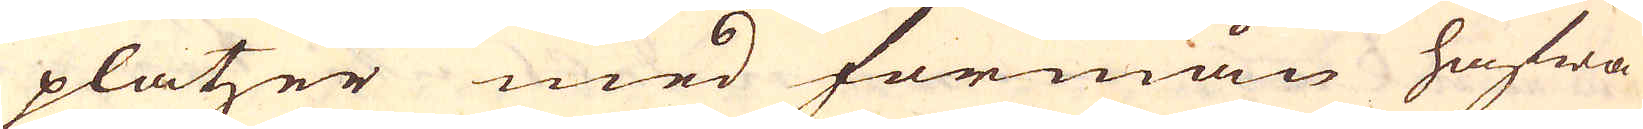platzer med förmån hafwa
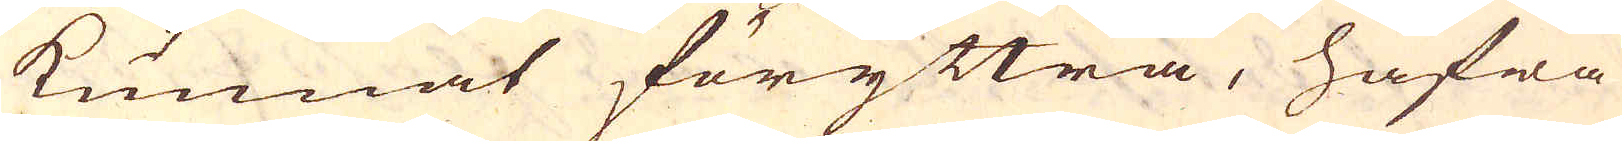kunnat föryttra, hafwa
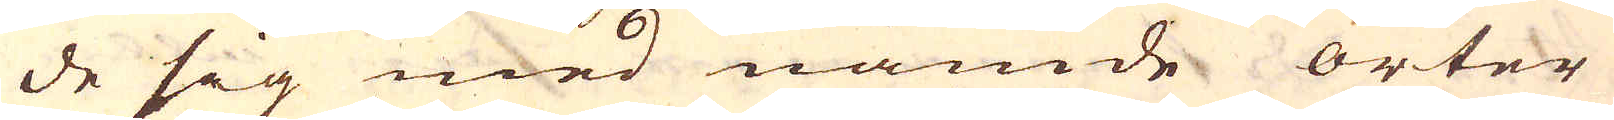de sig med nämde orter
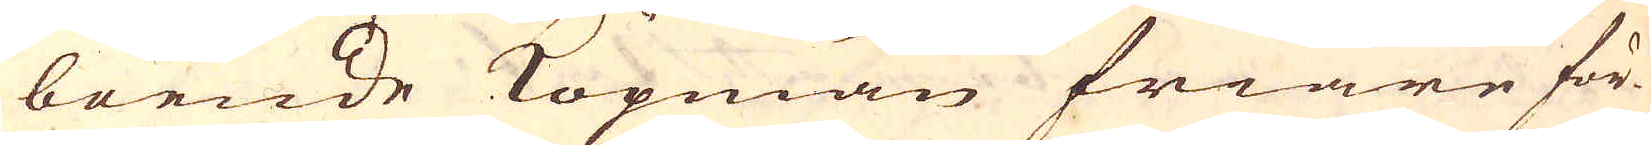boende Köpmän friare för-
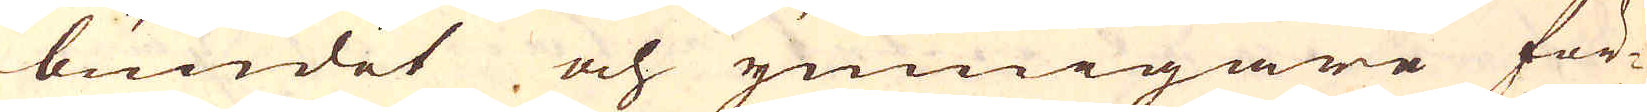bundet och ymnigare för-
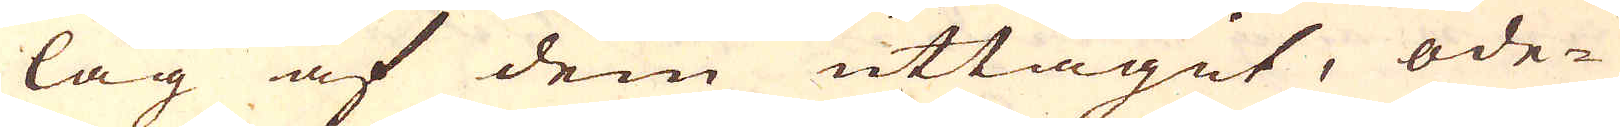lag af dem uttaget, öde-
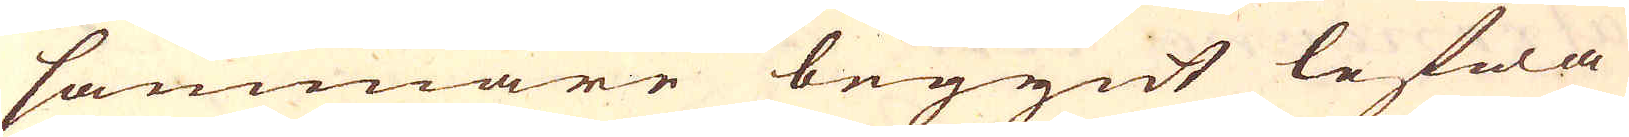sammare begynt lefwa
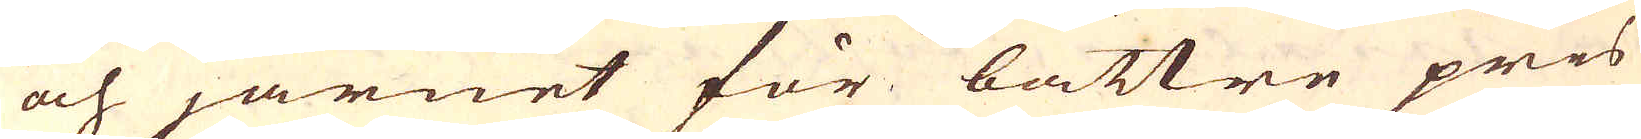och järnet för bättre pris
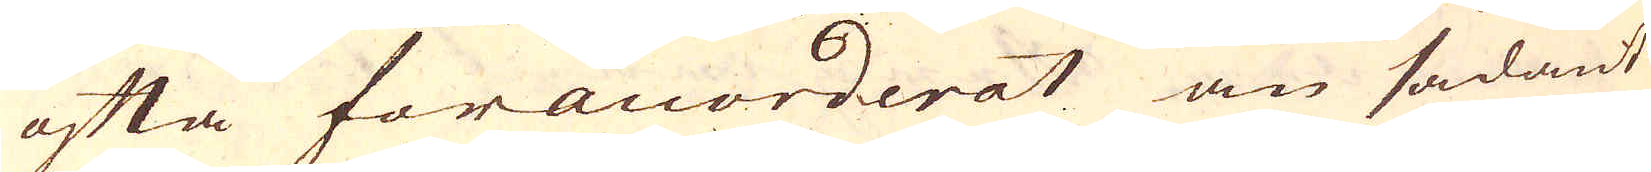ofta föranorderat än sådant
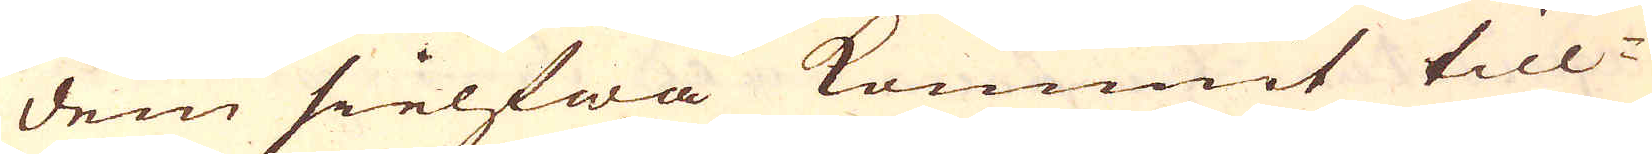dem sielfwa kommit till-
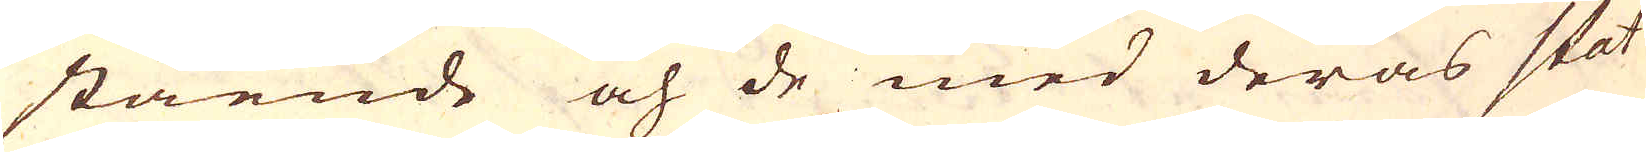stående och de med deras stat
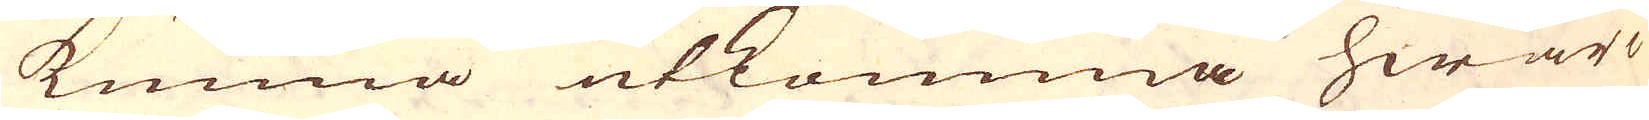kunna utkomma hwar-
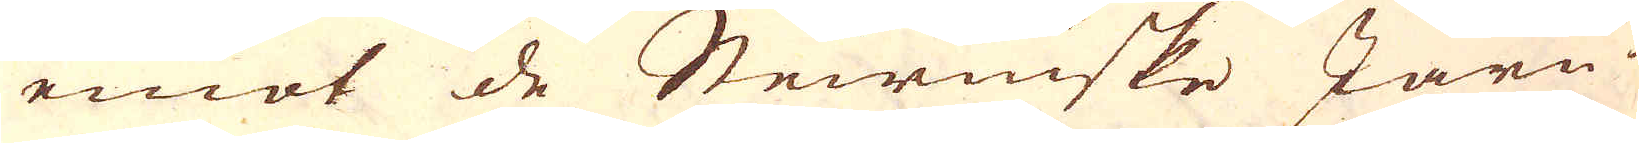emot de Steirniske Järn-
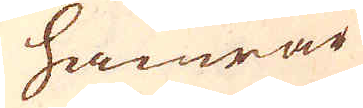hamrar
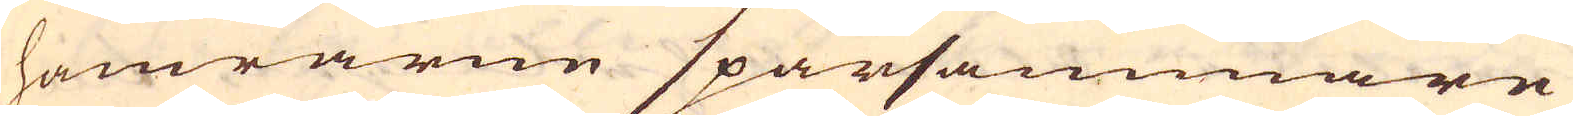hamrarne sparsammare
